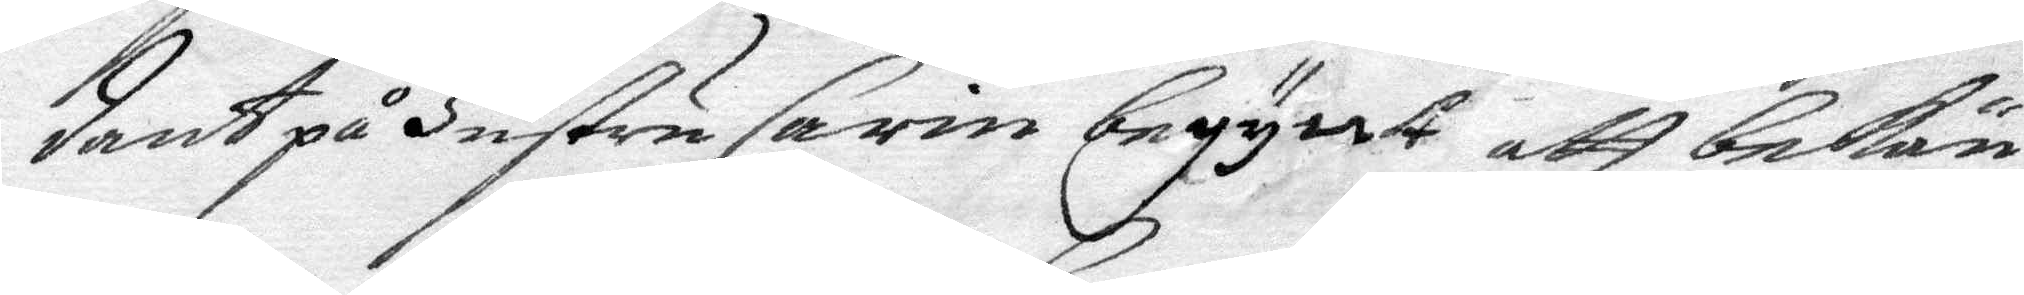dant på Hustru Carin begynt att bekän¬
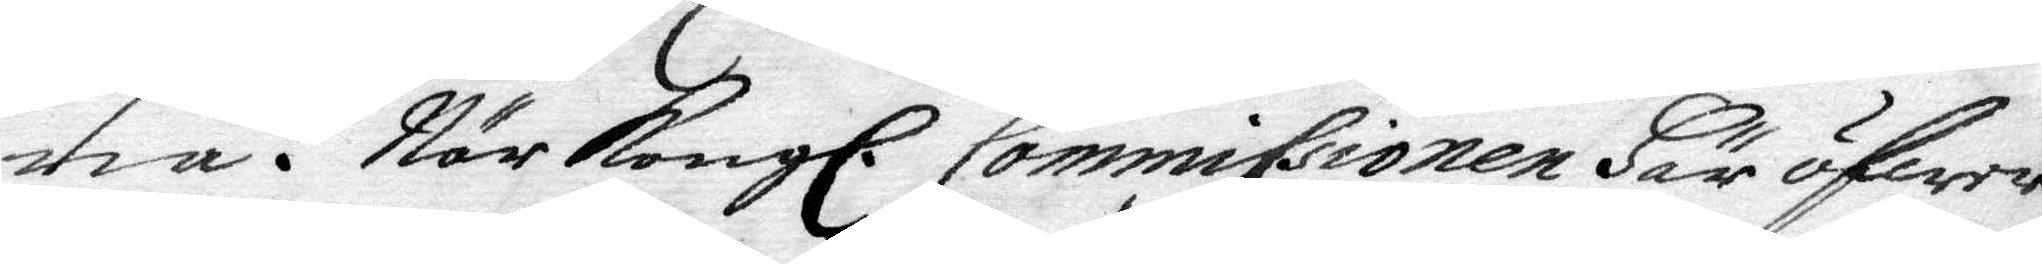na. När Kongl. Commissionen Här öfwer
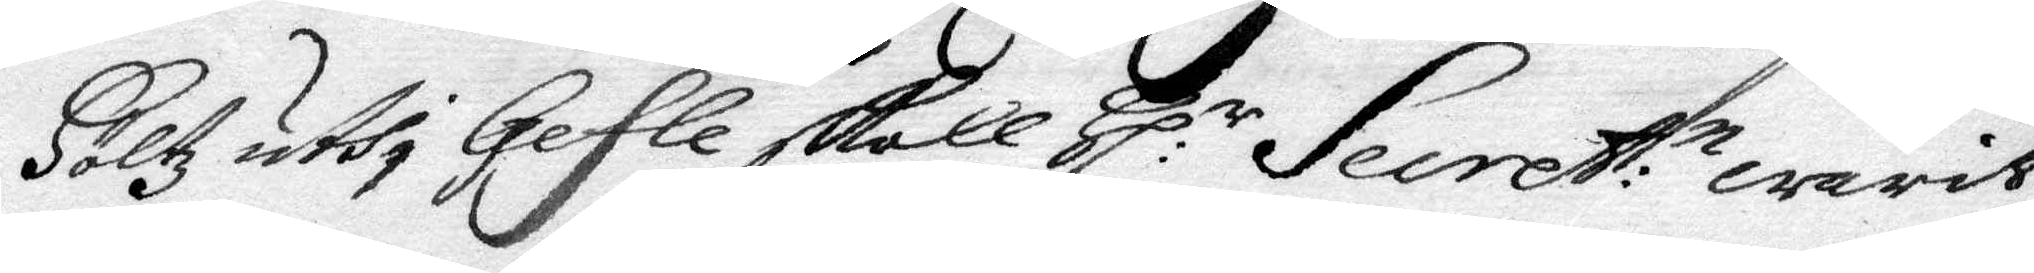Höltz uthi Gefle skall Hl:r Secret:n warit
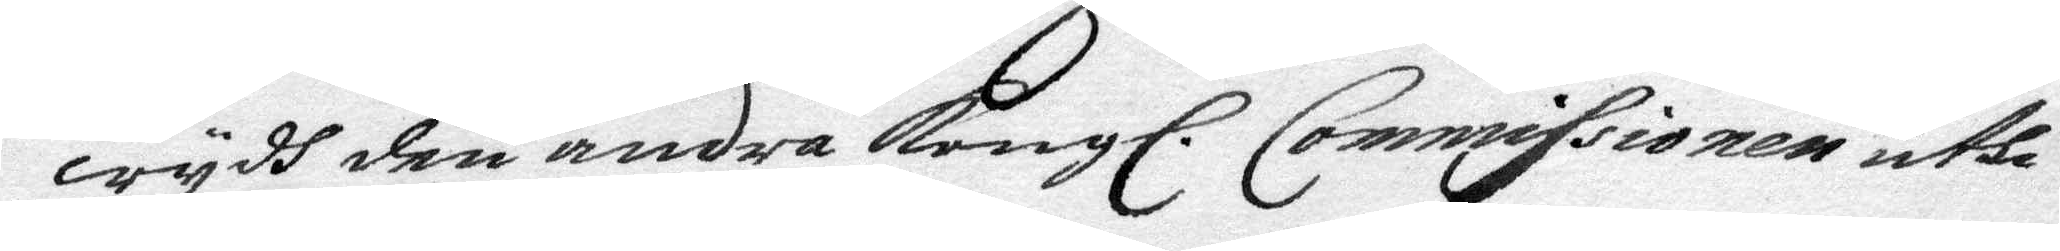wydh den andra Kongl. Commissionen uthi
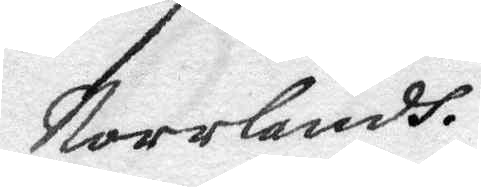Norrlandh.
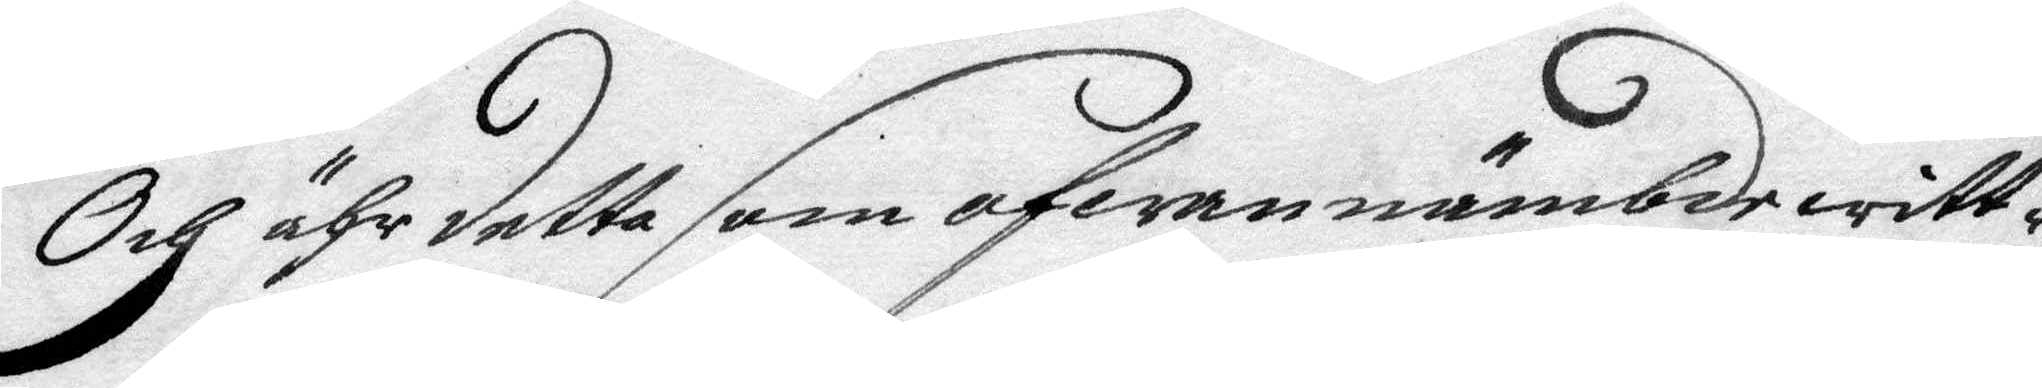Och ähr detta som ofwannämbde witt¬
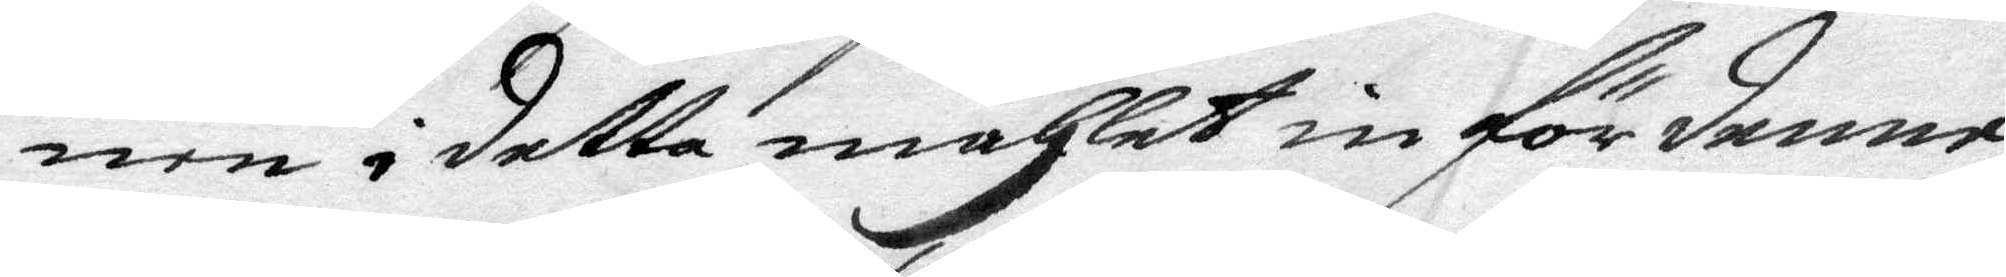nen i detta måhlet in för denne
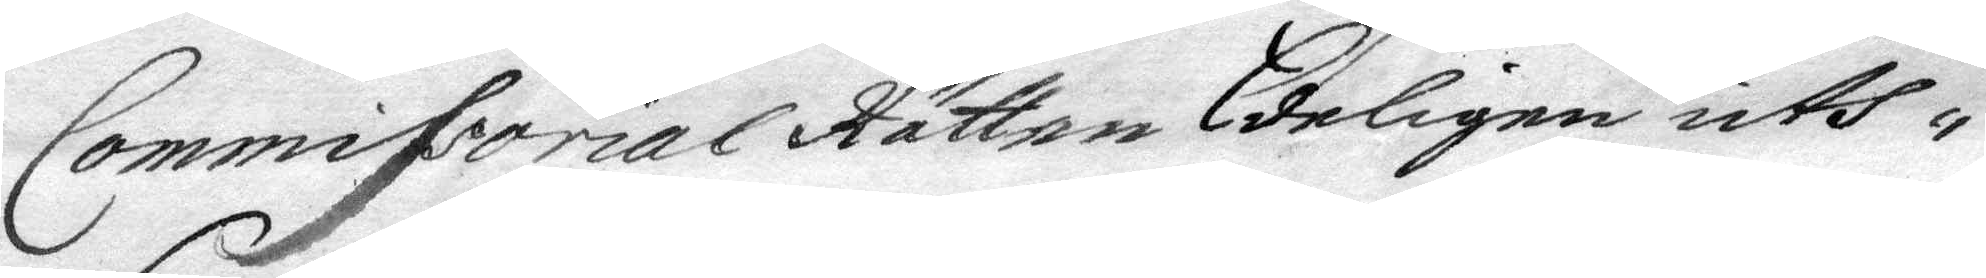Commissorial Rätten Eedeligen uth¬
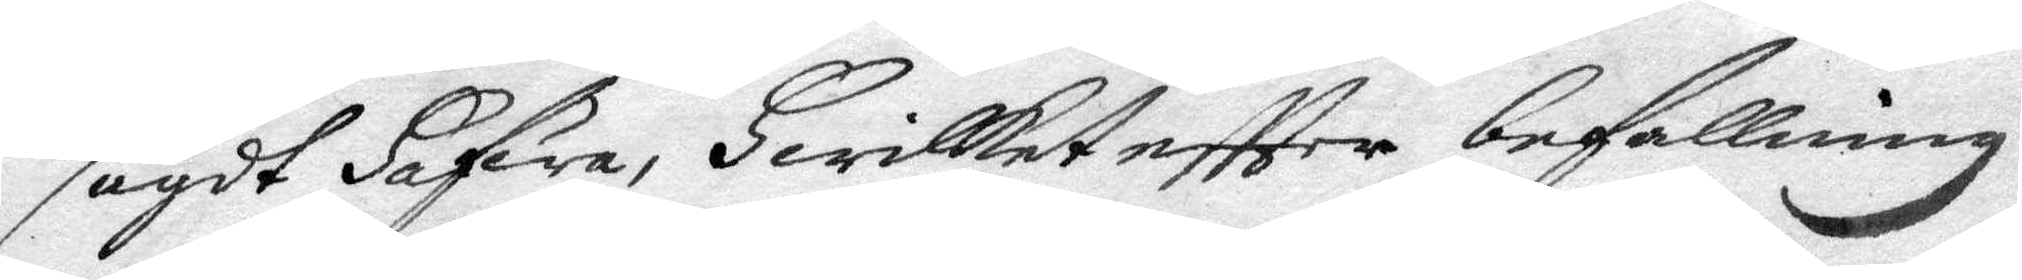sagdt Hafwa, Hwilket effter befallning
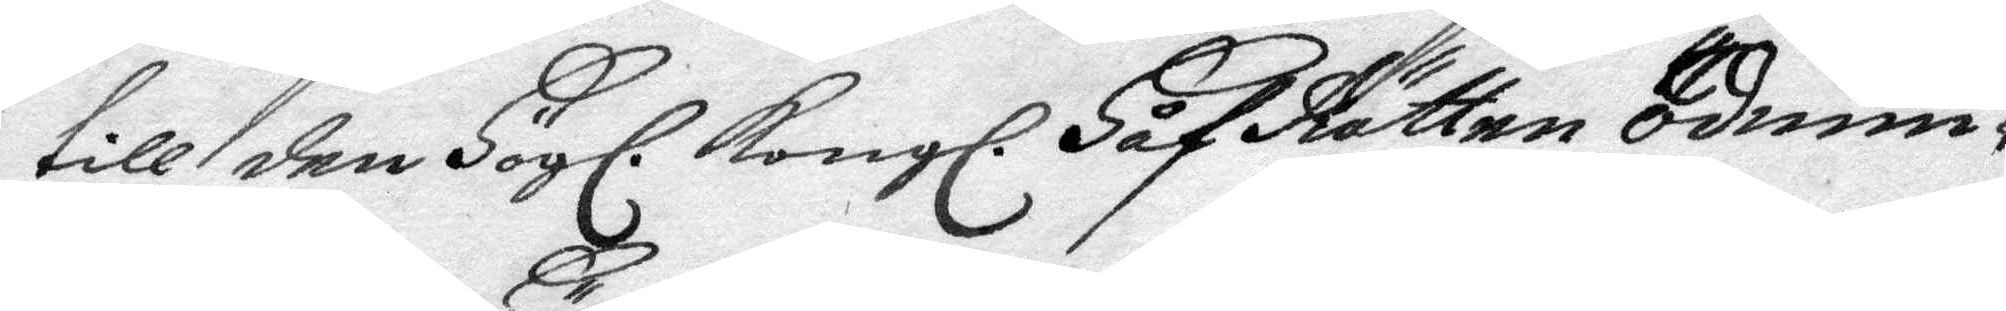till den Högl. Kongl. HåfRätten ödmiu¬
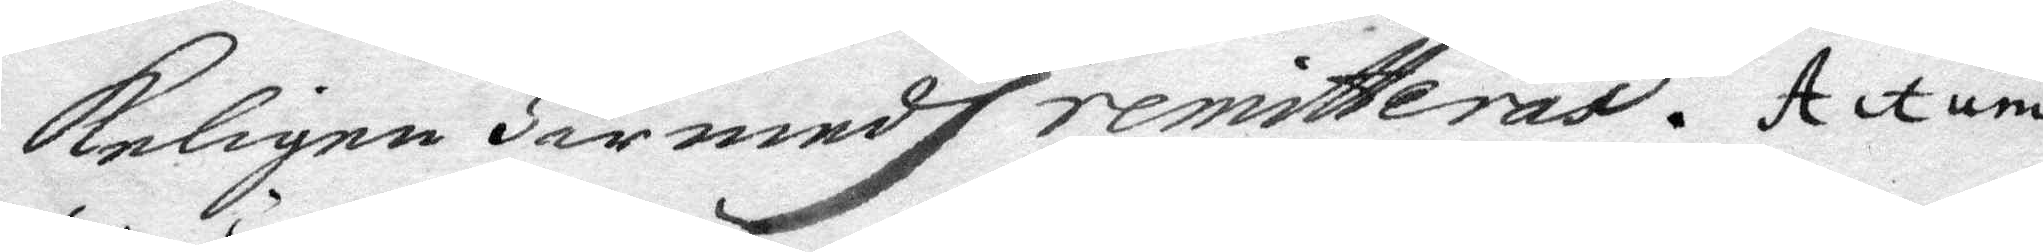keligen Här medh remitteras. Actum
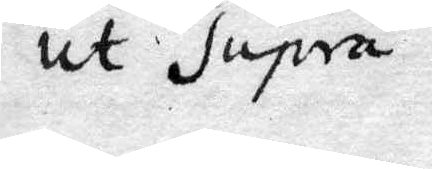ut Supra.
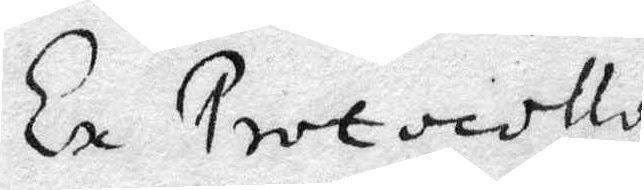Ex Protocollo
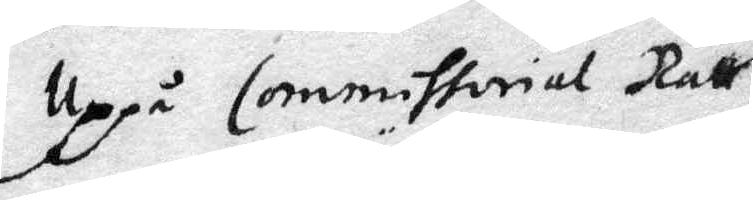Uppå Commissorial Rätts
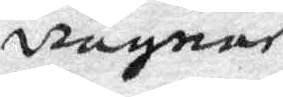wägnar
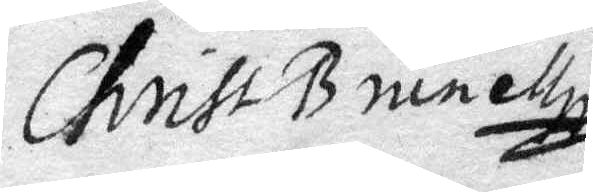Christ B ninett
